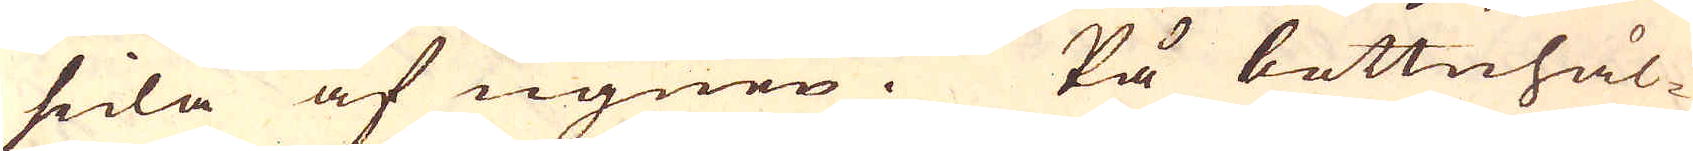sida af ugnen. På bottnhål-
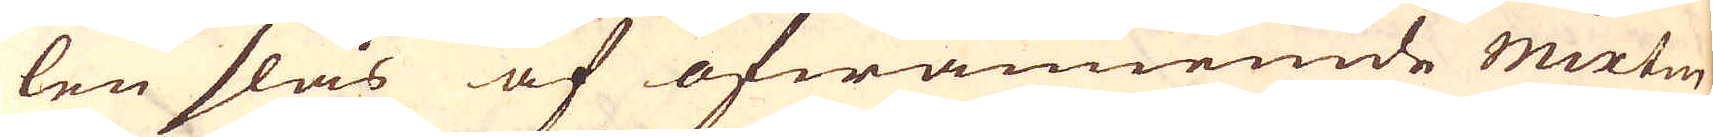len slås af ofwannemde mixtur
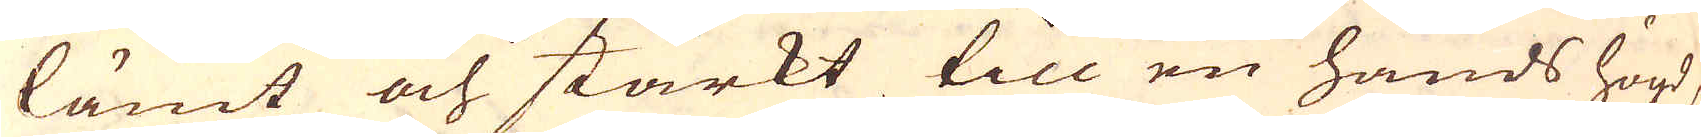lämt och starkt till en hands högd,
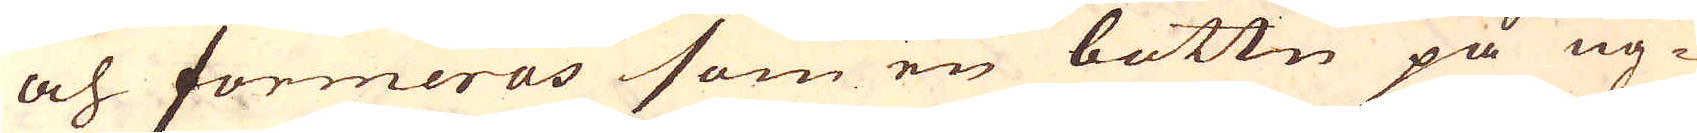och formeras som en bottn på ug-
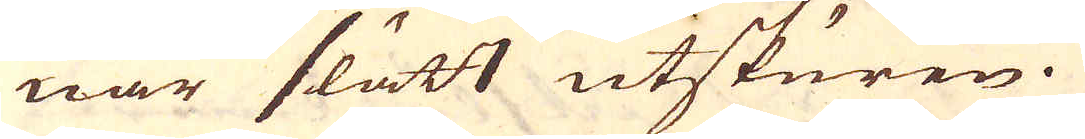nar slätt utskuren.
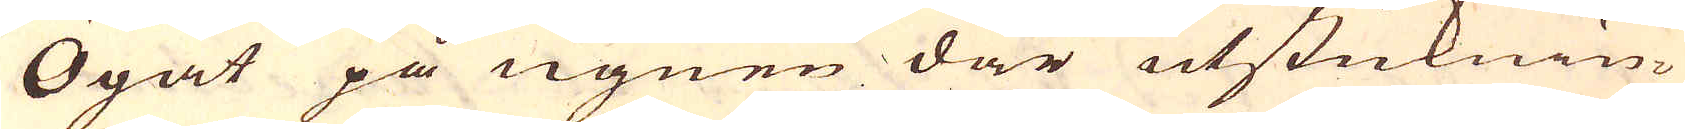Ögat på ugnen där utsticknin-
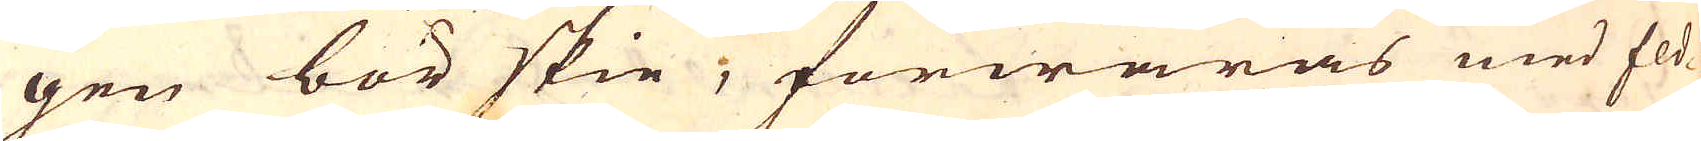gen bör skie, förwaras med Eld-
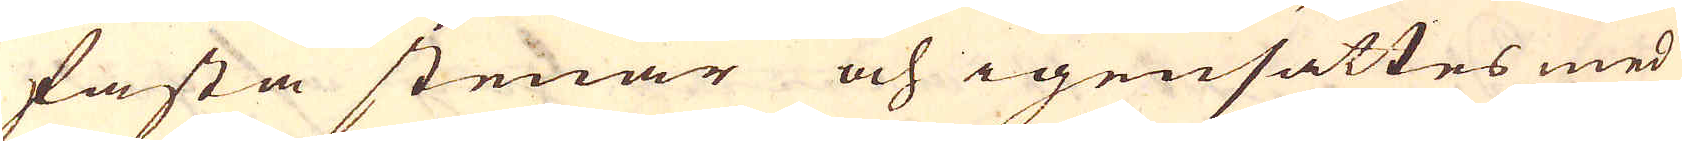fasta stenar och igensättes med
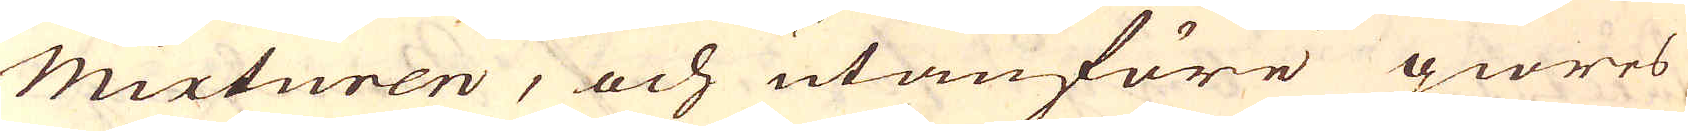mixturen, och utanföre giöres
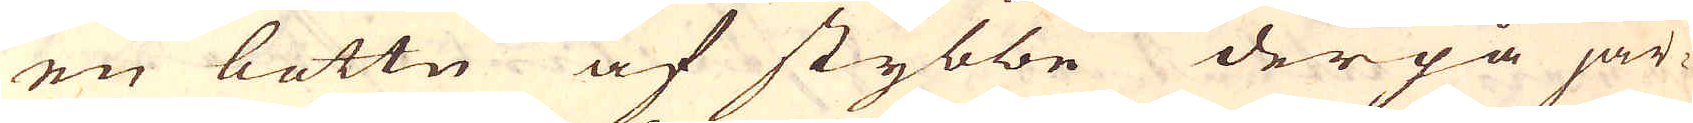en bottn af stybbe derpå jär-
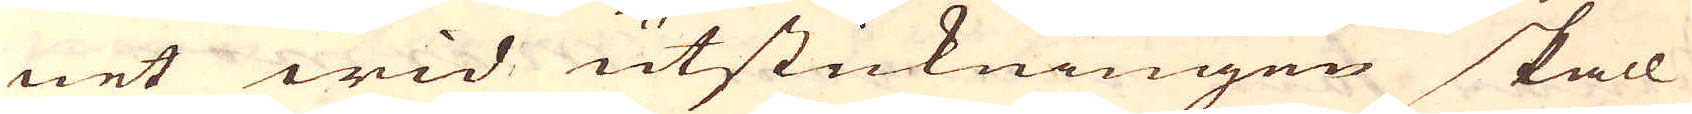net wid utstickningen skall
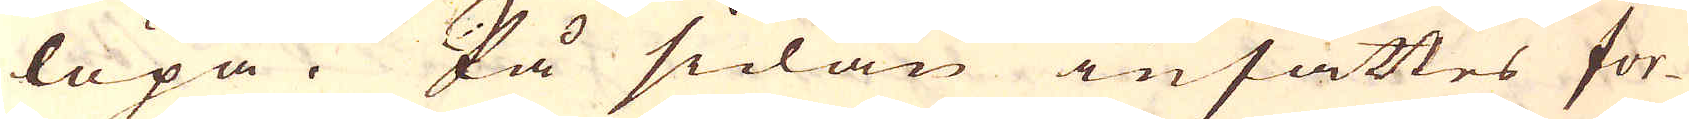löpa. På sidan insättes for-
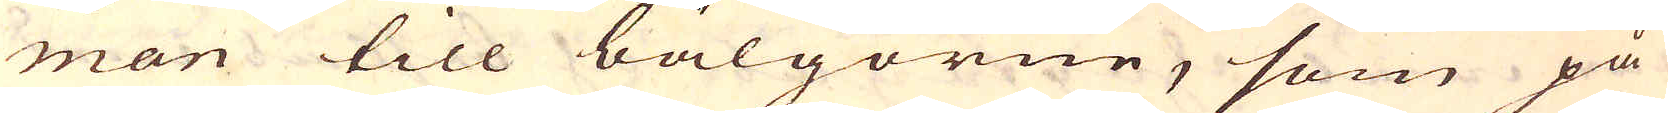man till bälgorne, som på
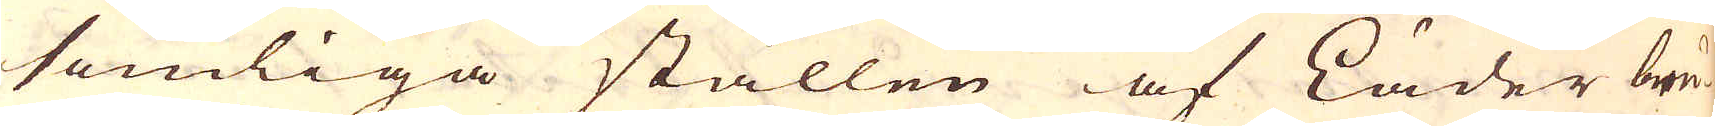somliga ställen af Läder bru-
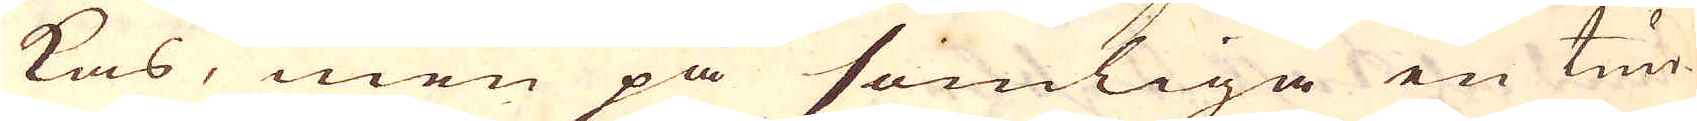kas, men på somliga en tun-
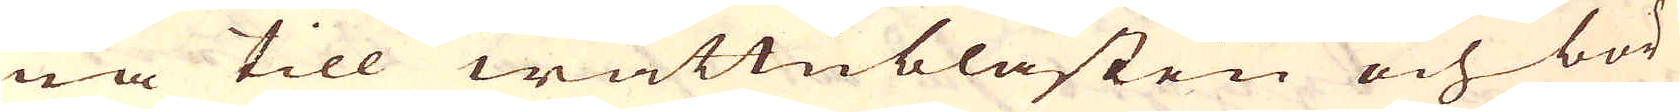na till wattublåsten och bör
